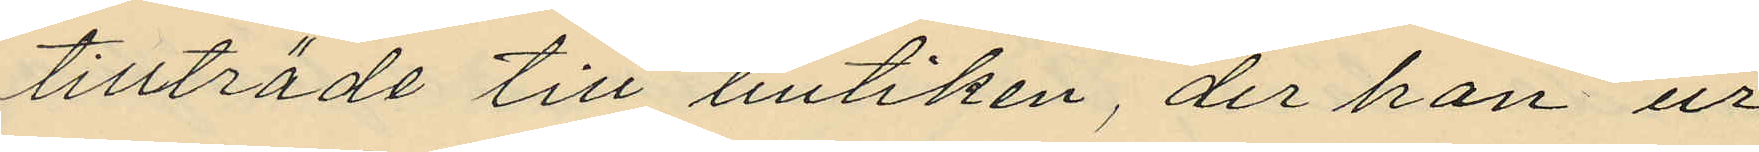tillträde till butiken, der han ur
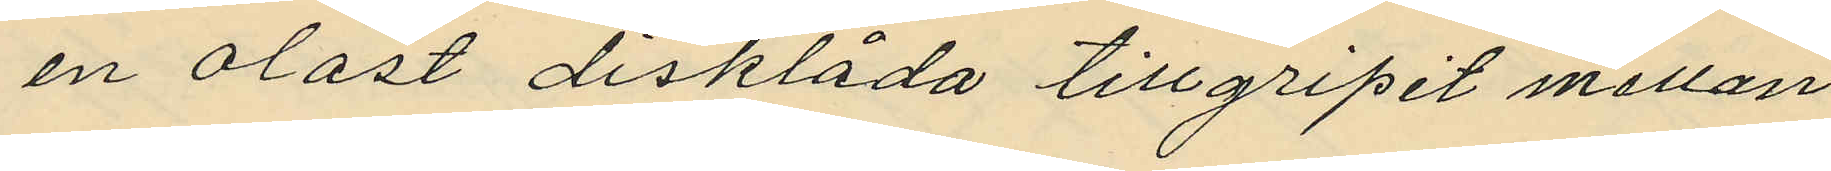en olåst disklåda tillgripit mellan
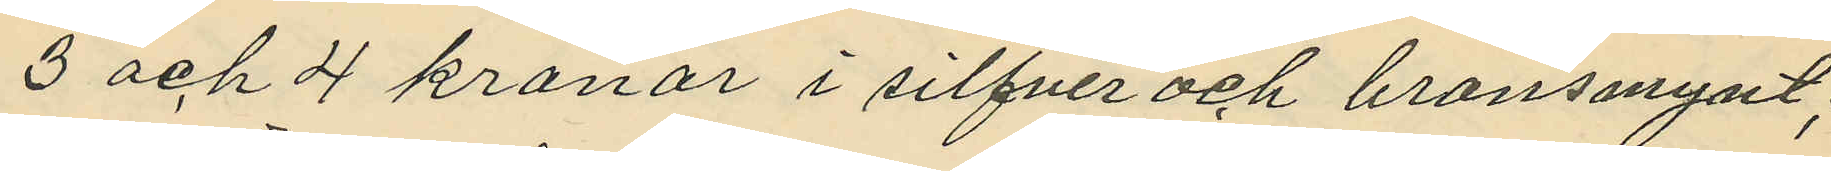3 och 4 kronor i silfver och bronsmynt;
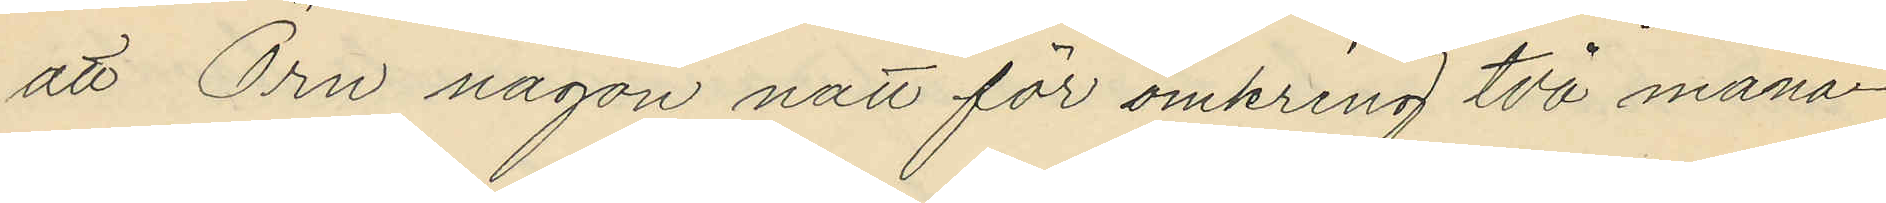att Örn någon natt för omkring två måna¬
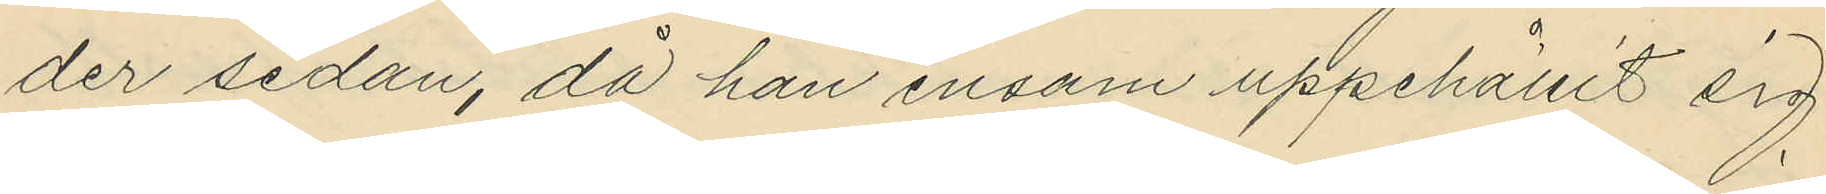der sedan, då han ensam uppehållit sig
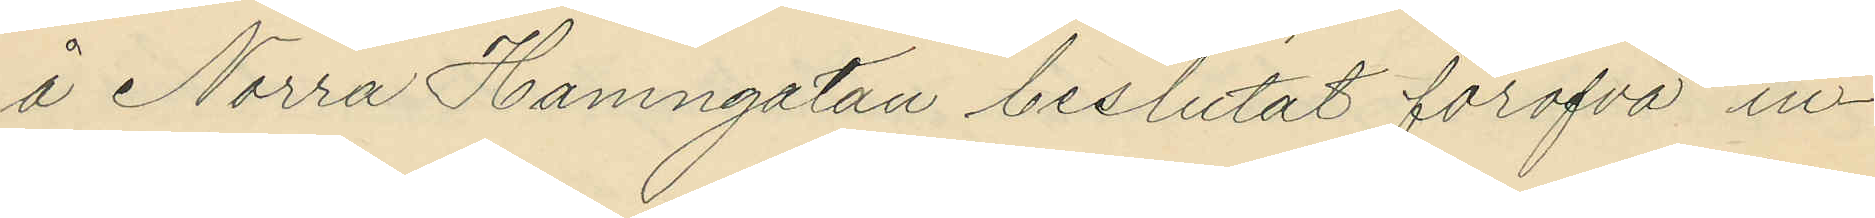å Norra Hamngatan beslutat föröfva in¬
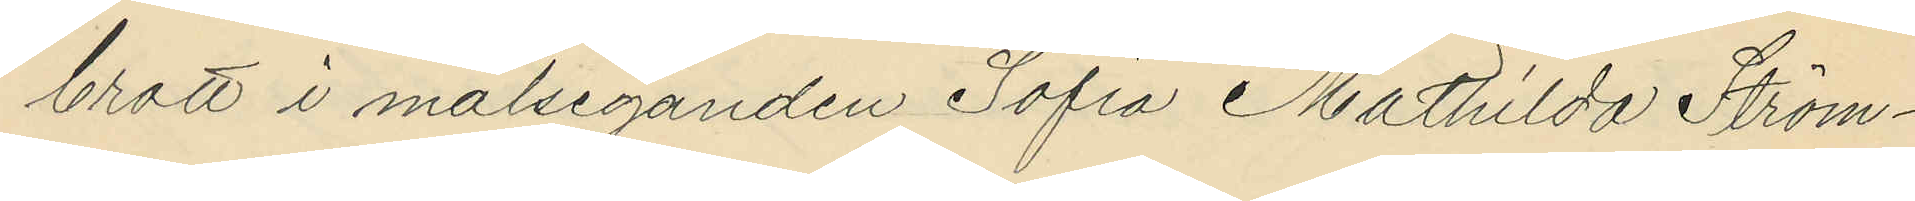brott i målseganden Sofia Mathilda Ström¬
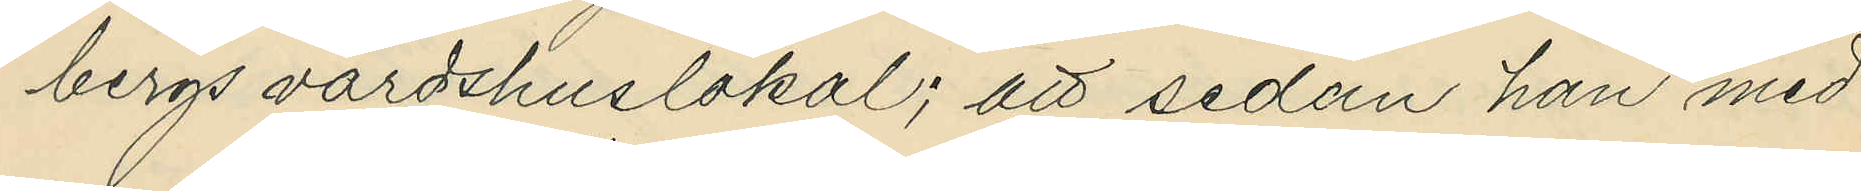bergs värdshuslokal; att sedan han med
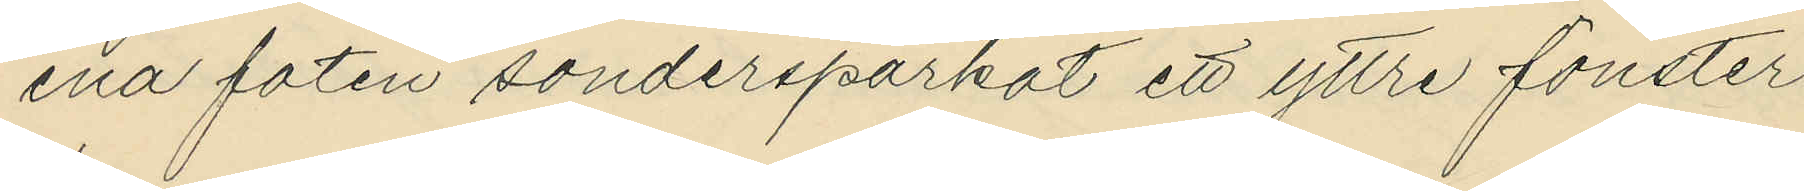ena foten söndersparkat ett yttre fönster
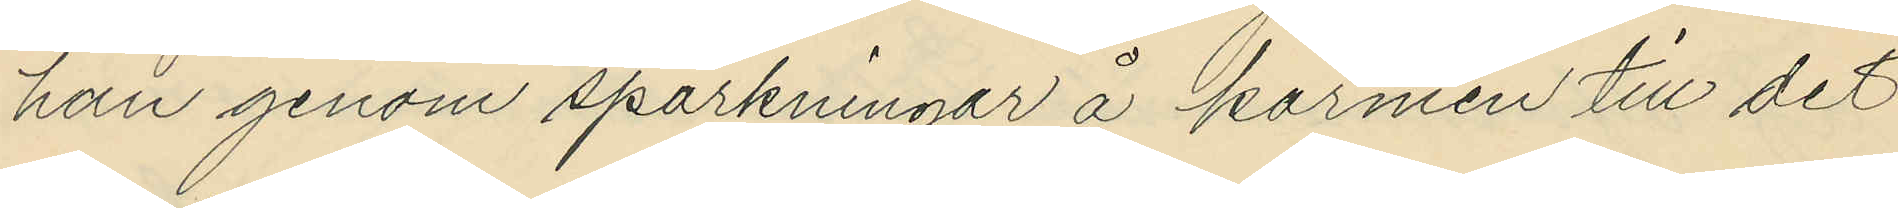han genom sparkningar å karmen till det
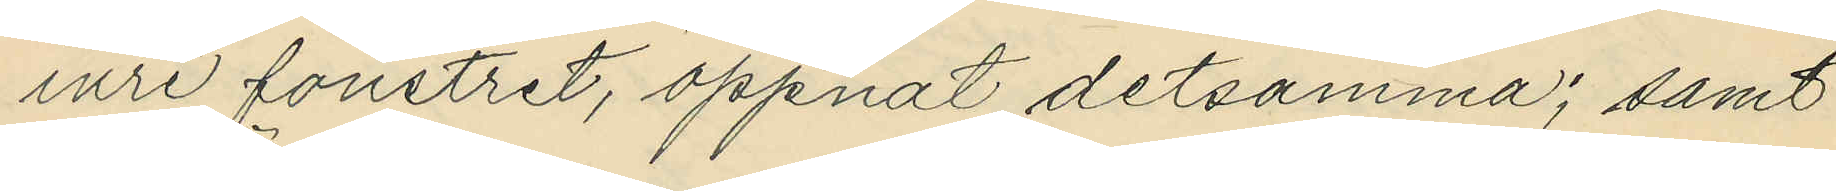inre fönstret, öppnat detsamma; samt
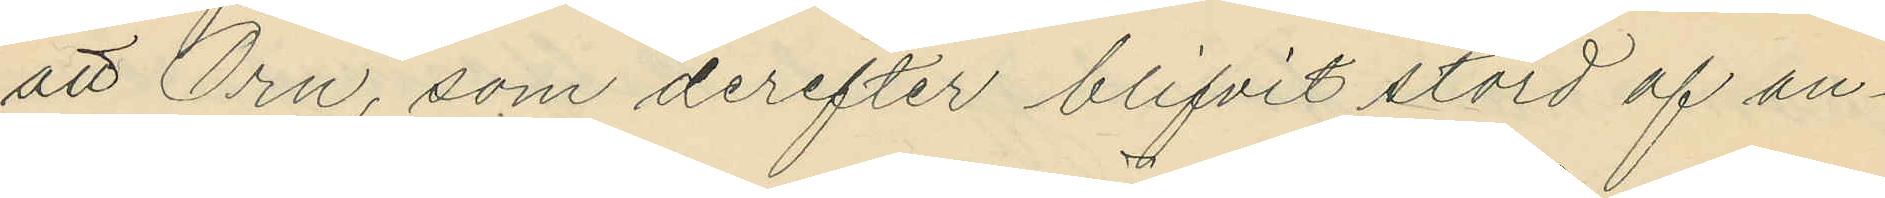att Örn, som derefter blifvit störd af an¬
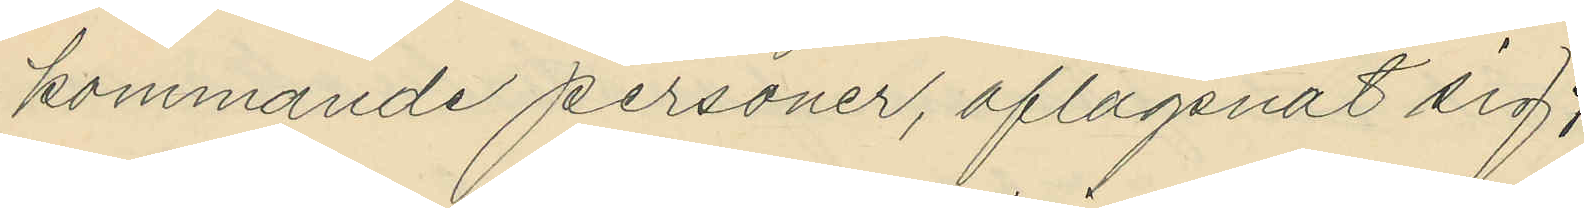kommande personer, aflägsnat sig;
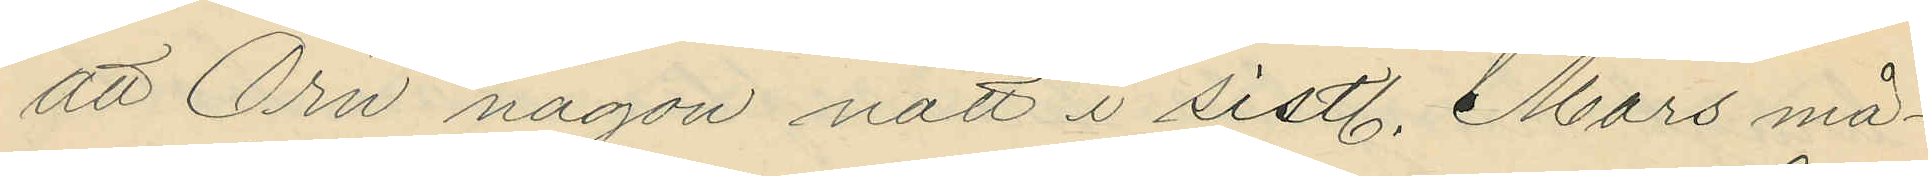att Örn någon natt i sistl. Mars må¬
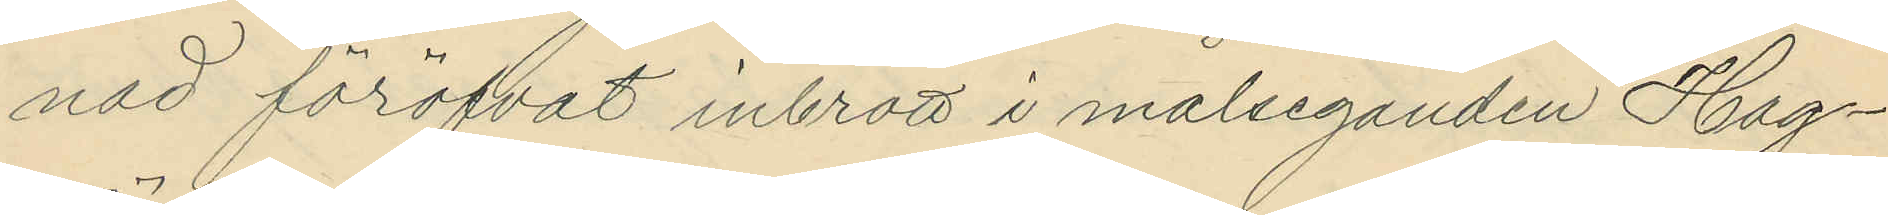nad föröfvat inbrott i målseganden Hag¬
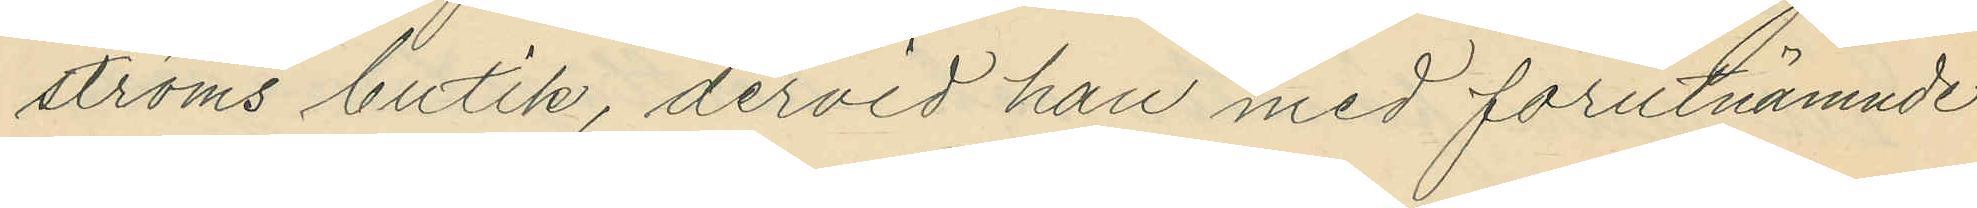ströms butik, dervid han med förutnämnde
